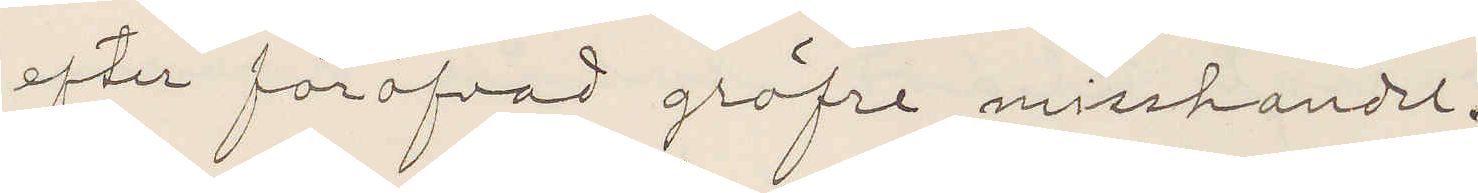efter föröfvad gröfre misshandel.
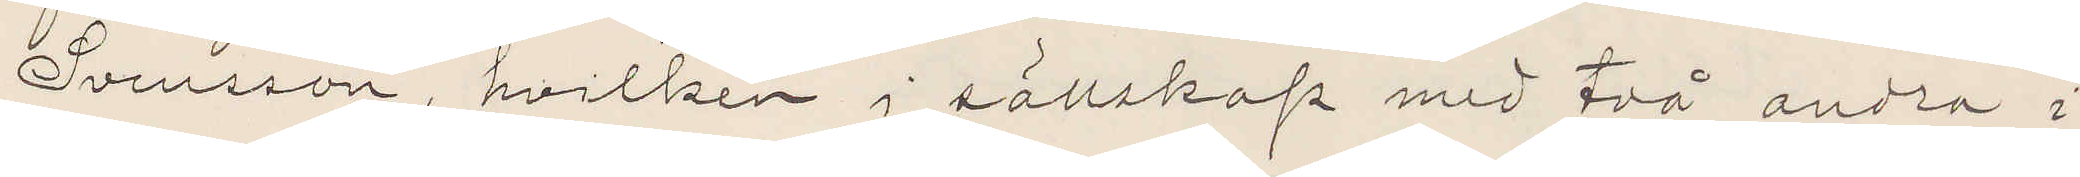Svensson, hvilken i sällskap med två andra i
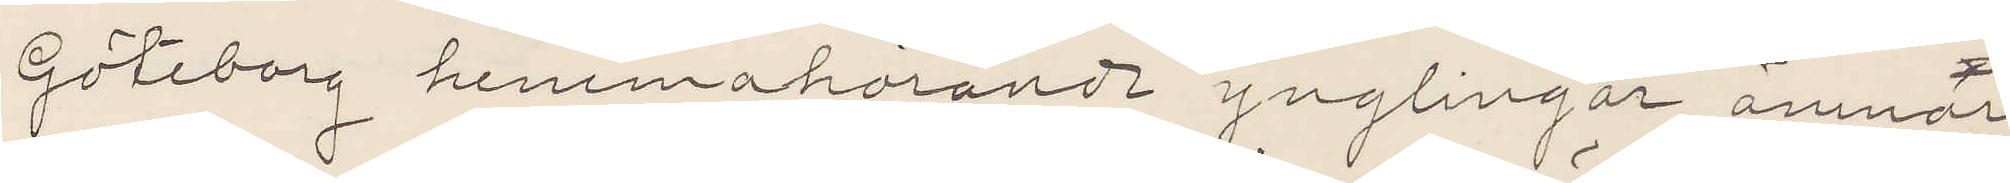Göteborg hemmahörande ynglingar ämnar
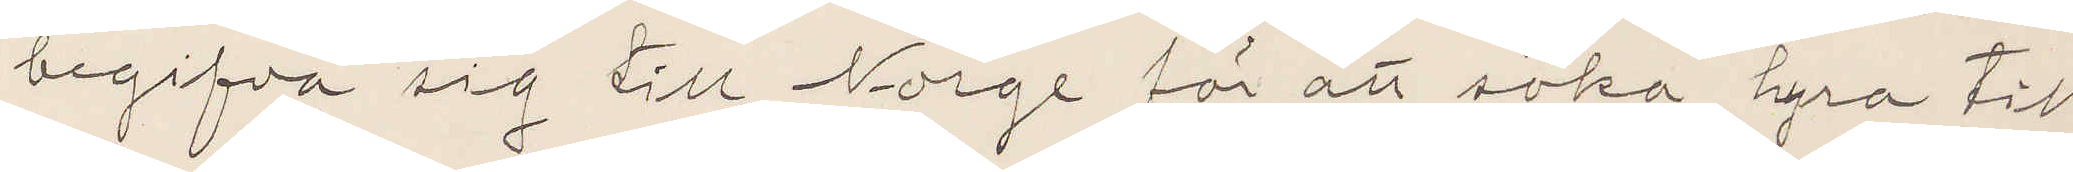begifva sig till Norge för att söka hyra till
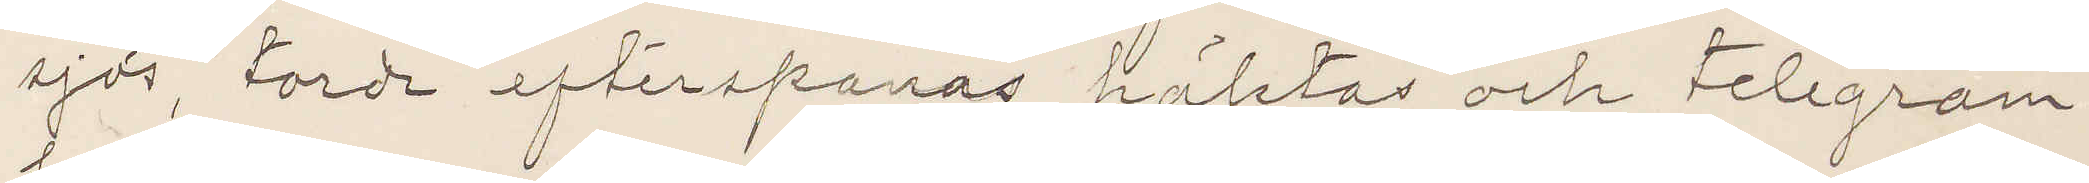sjös, torde efterspanas, häktas och telegram¬
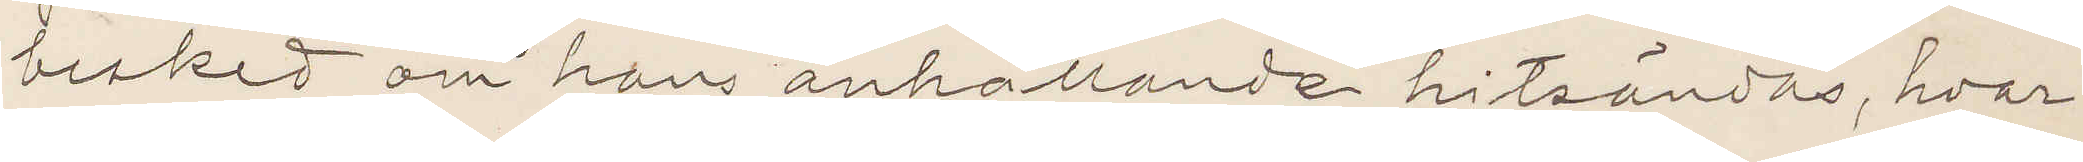besked om hans anhållande hitsändas, hvar¬
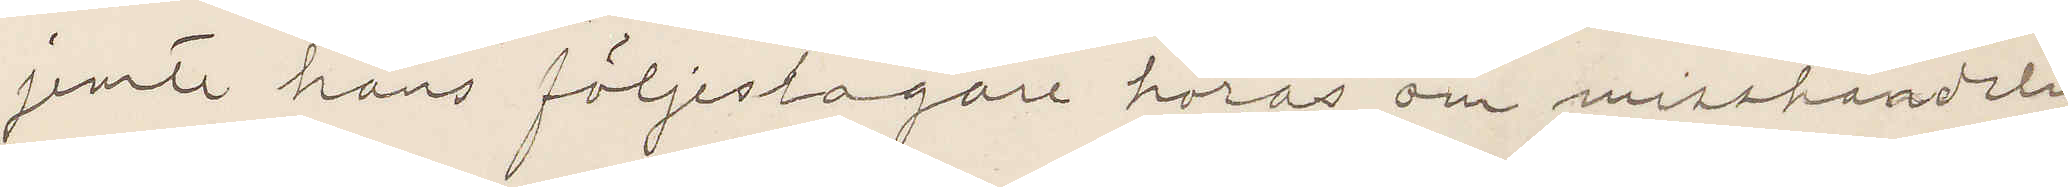jemte hans följeslagare höras om misshandeln.
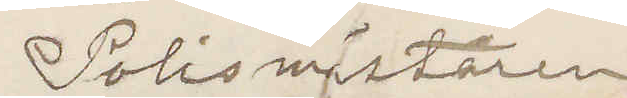Polismästaren.
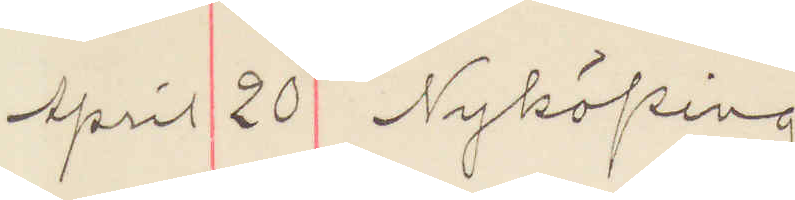April 20 Nyköping
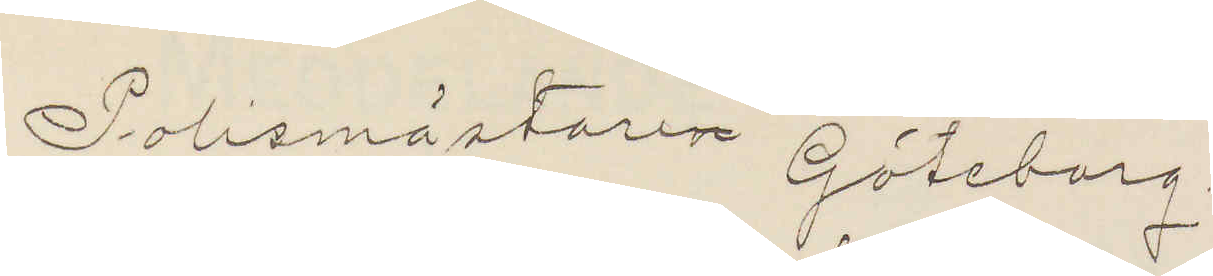Polismäsatren Göteborg.
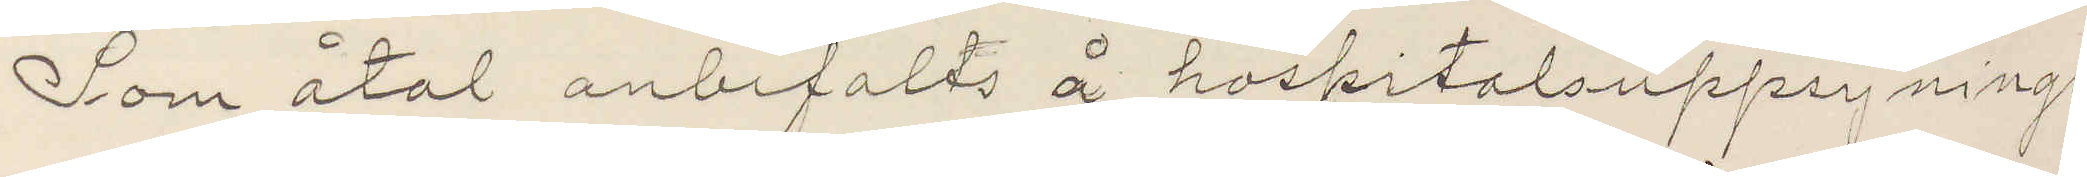Som åtal anbefalts å hospitalsuppsynings¬
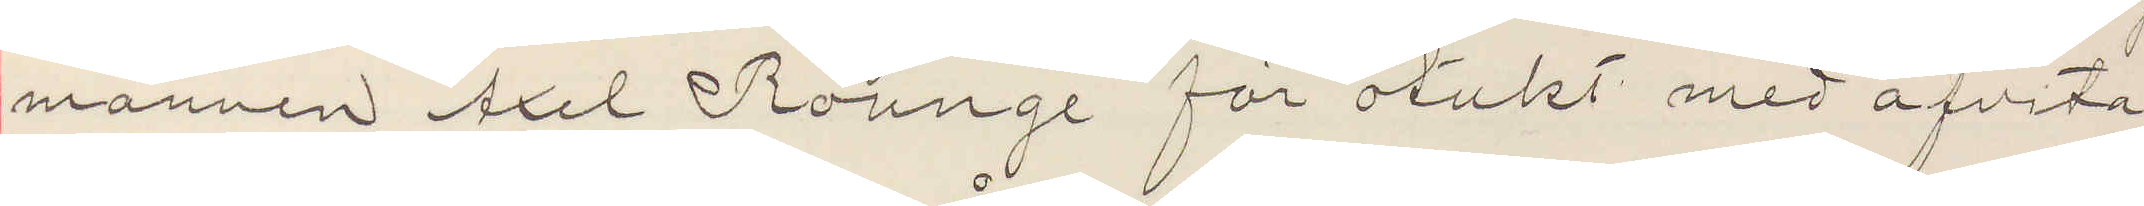mannen Axel Rounge för otukt med afvita
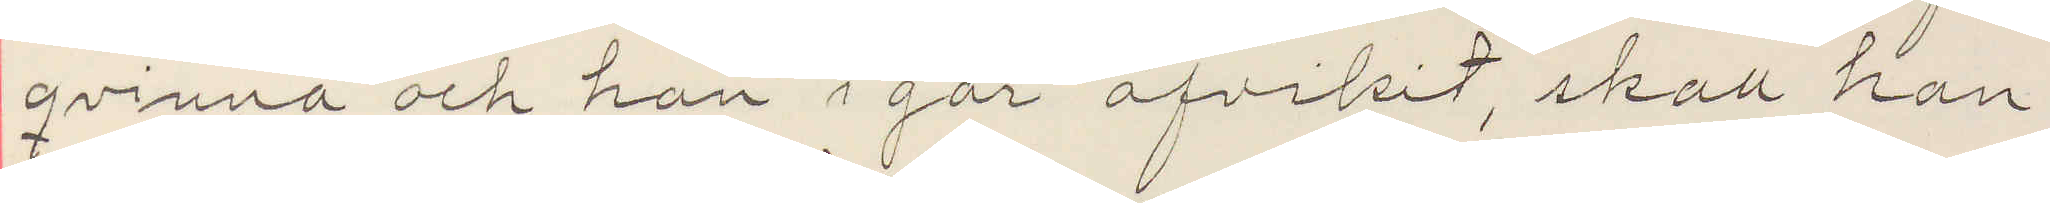qvinna och han i går afvikit, skall han
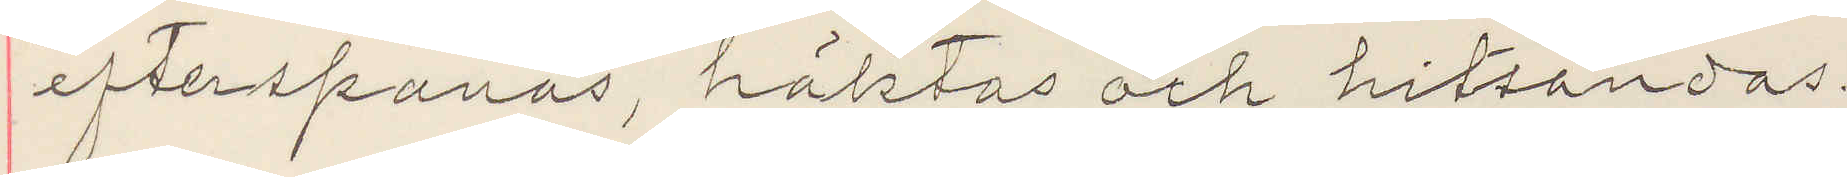efterspanas, häktas och hitsändas.
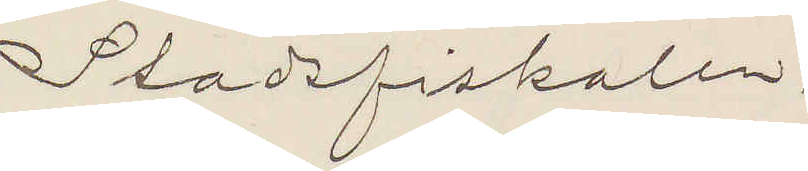Stadsfiskalen.
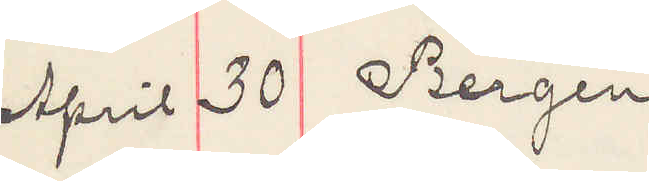April 30 Bergen
